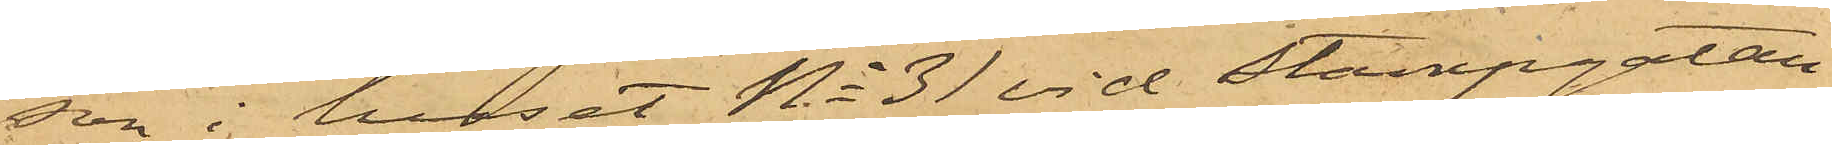son i huset No 31 vid Stampgatan
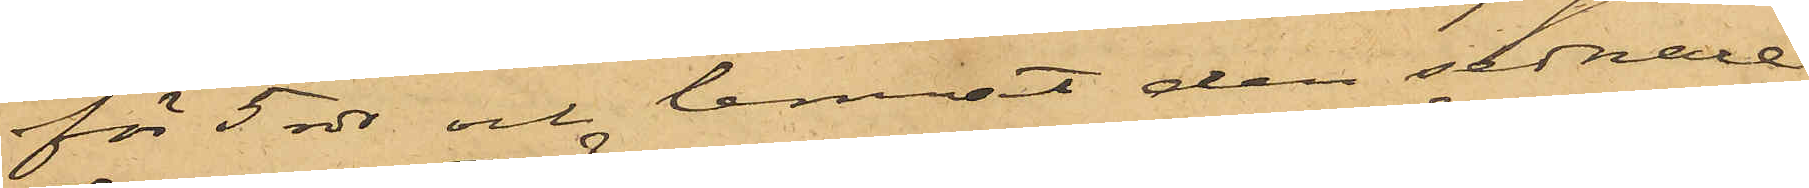för 5 rdr och lemnat den sednare
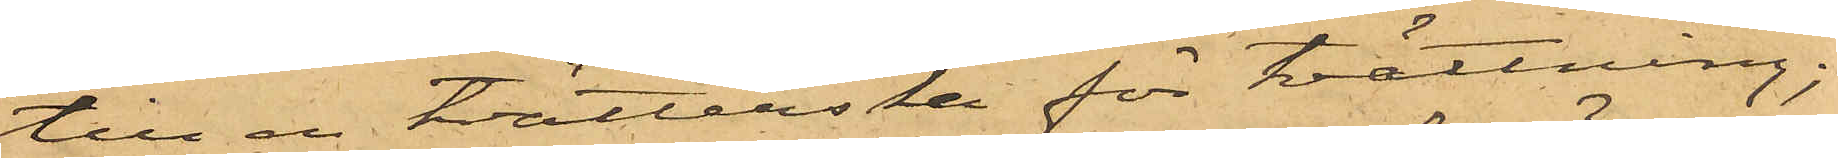till en tvätterska för tvättning;
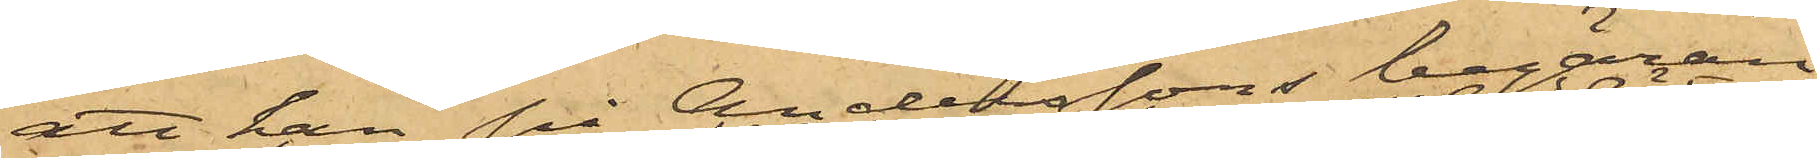att han på Anderssons begäran
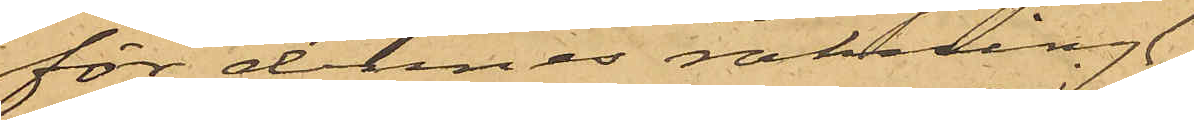för dennes räkning
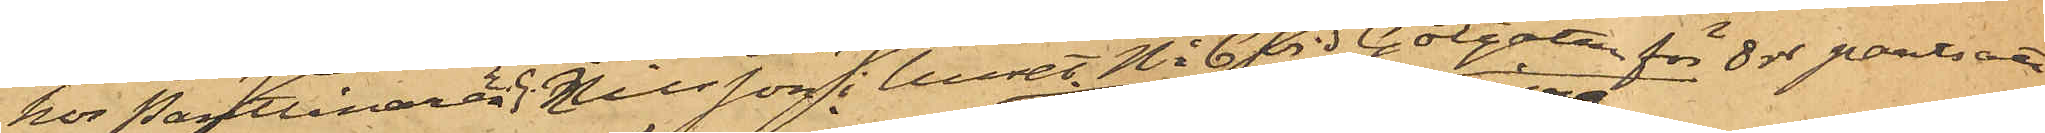hos Pantlånaren E.G. Nilsson i huset No 6 vid Götgatan för 8 rdr pantsatt
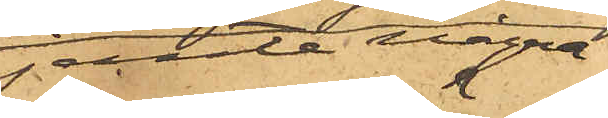jemte några
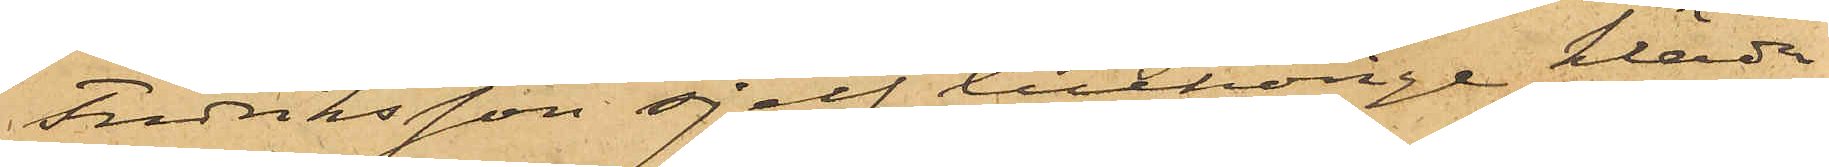Fredriksson sjelf tillhörige kläder
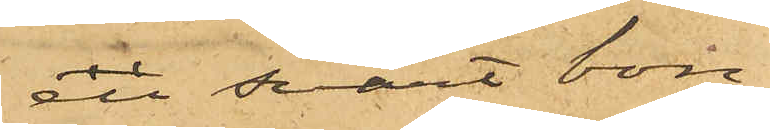en svart bon¬
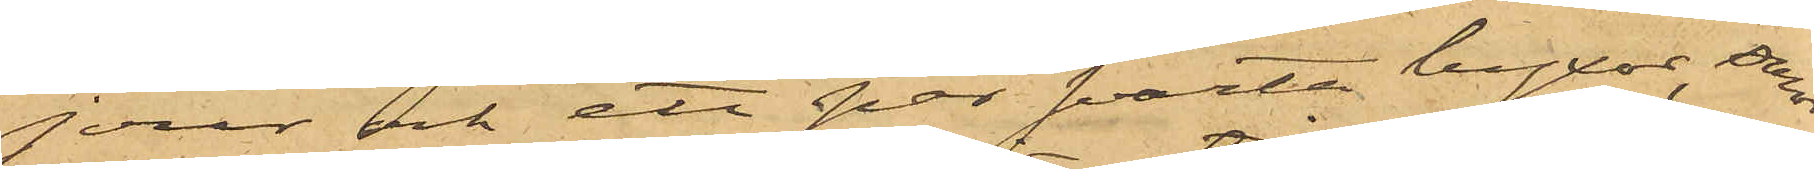jour och ett par svarta byxor, som
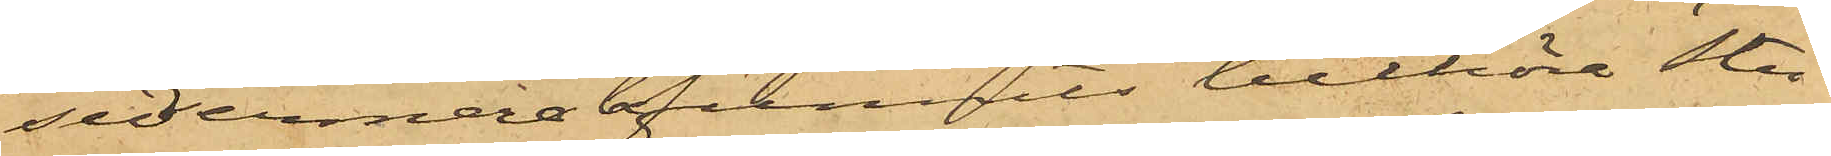sedermera befunnits tillhöra Stu¬
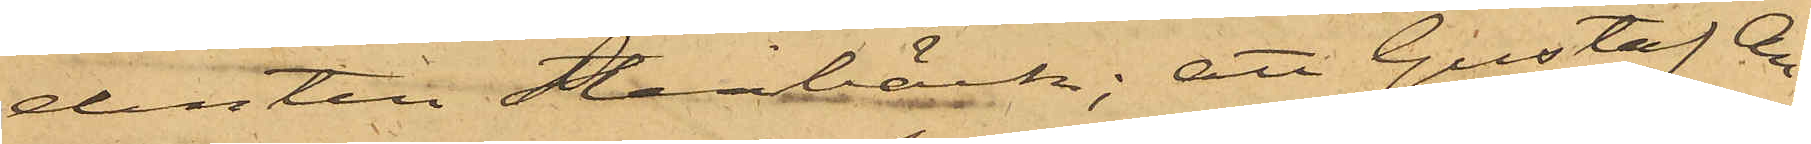denten Stenbäck; att Gustaf An¬
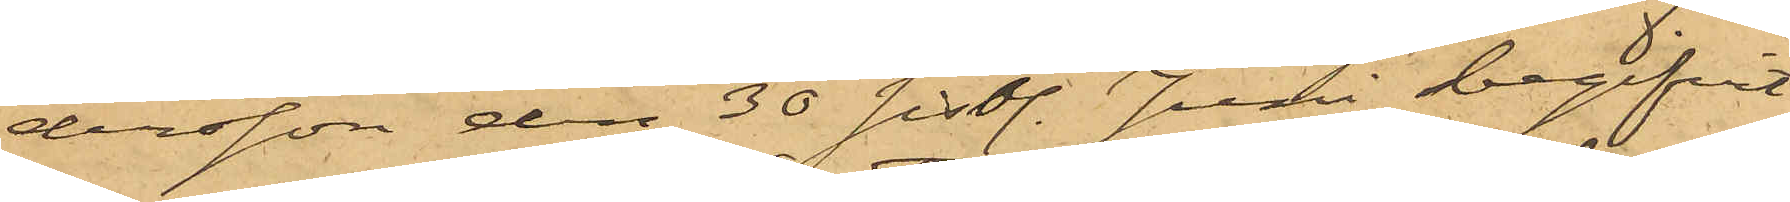dersson den 30 sistl. Juni begifvit
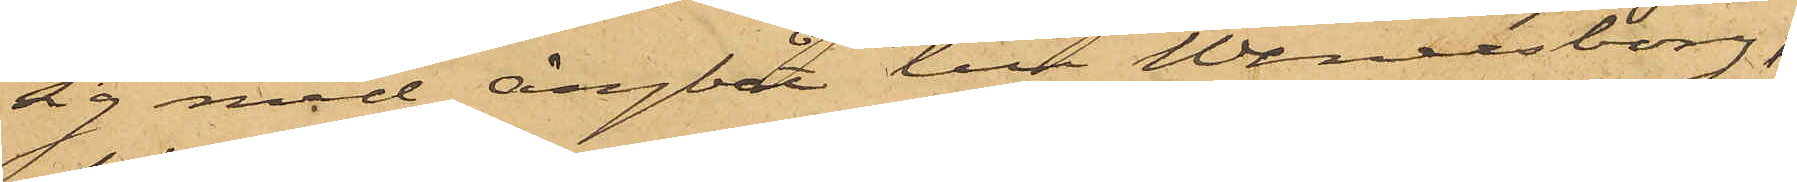sig med ångbåt till Wenersborg,
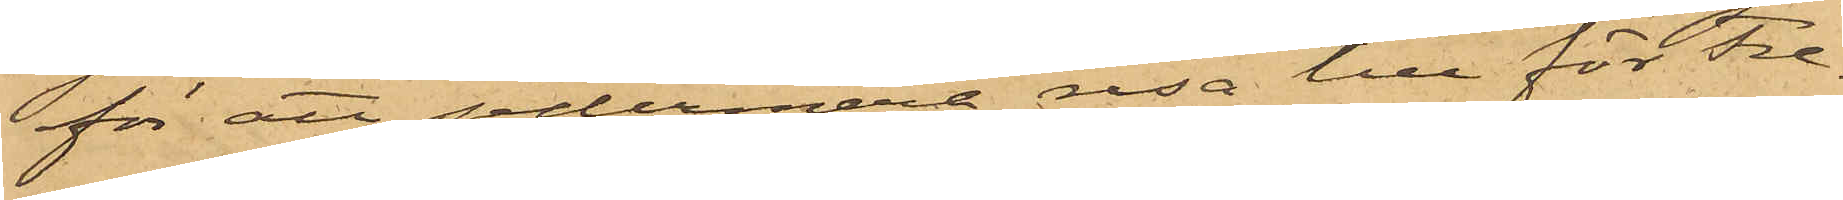för att sedermera resa till för Fre¬
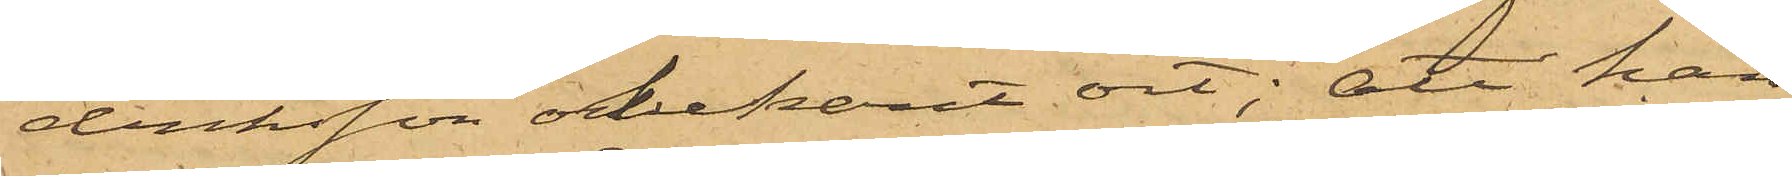driksson obekant ort; att han
